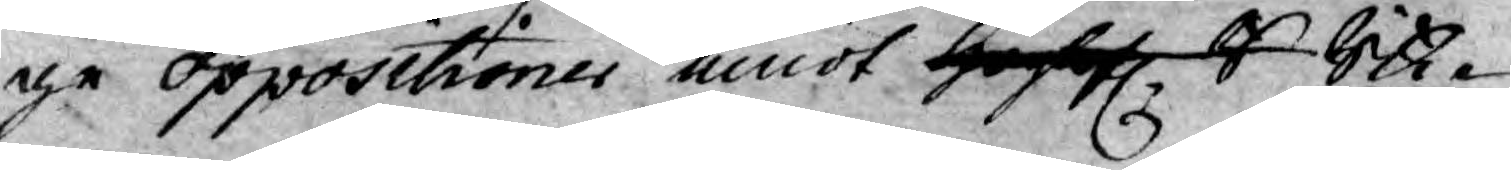ge oppositioner emot Höglof. R Rik¬
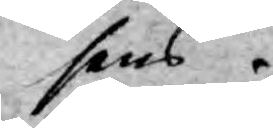sens
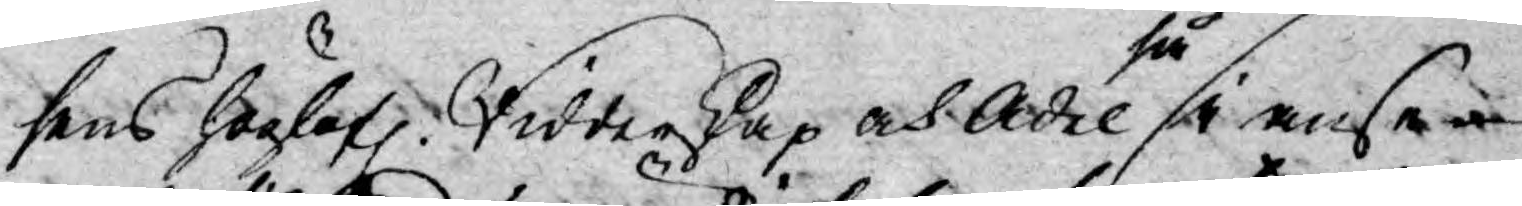sens höglof. Ridderskap och Adel så i anse¬
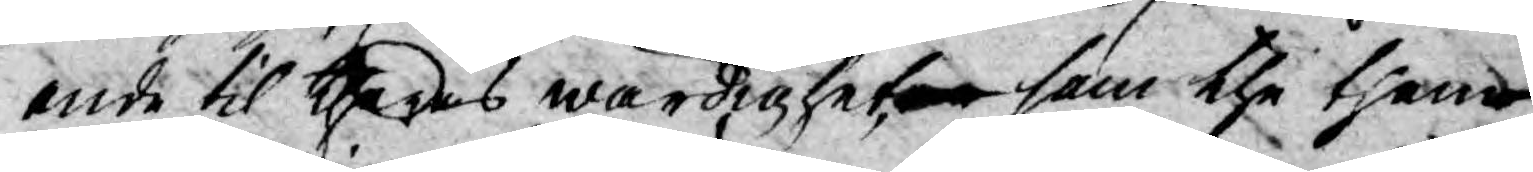ende til theras wärdigheter som the thena
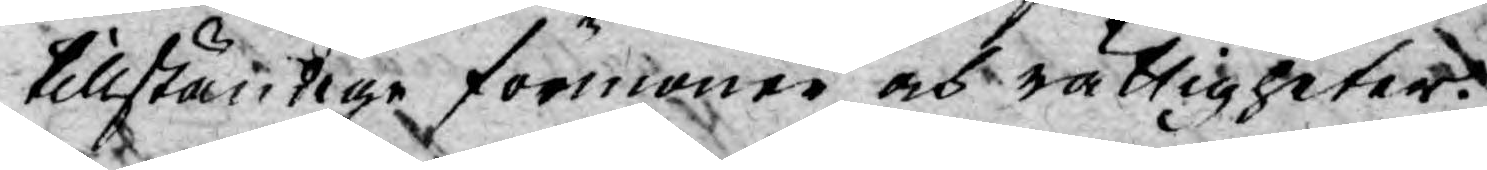tillständige förmåner och rättigheter.
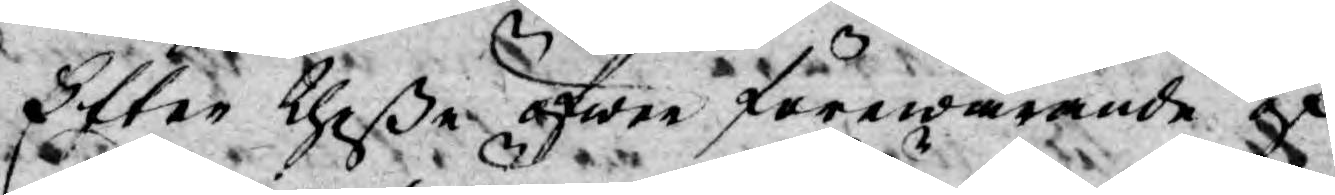Efter theße öfwer förewarande öf¬
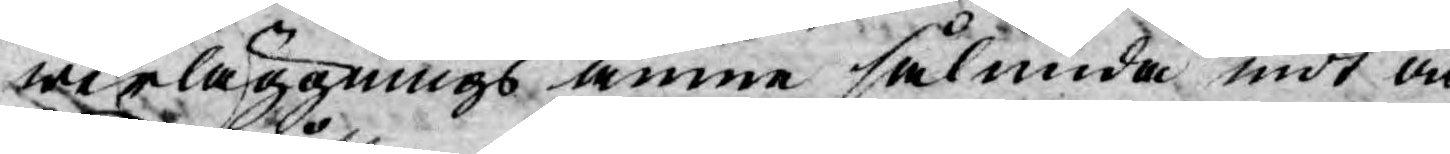werläggnings ämne sålunda mot och
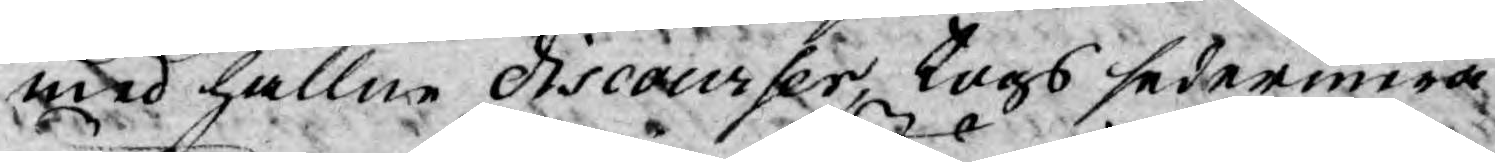med hållne discourser, togs sedermera
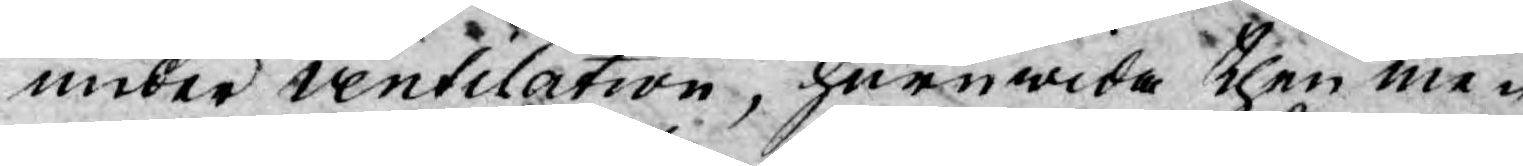under ventilation, huruwida then me¬
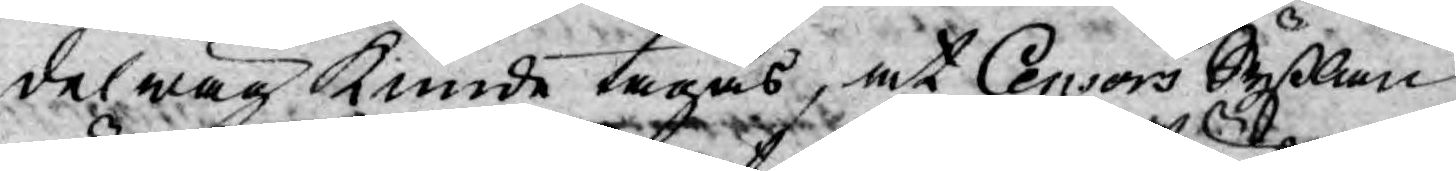delwäg kunde tagas, at Censors Syßlan
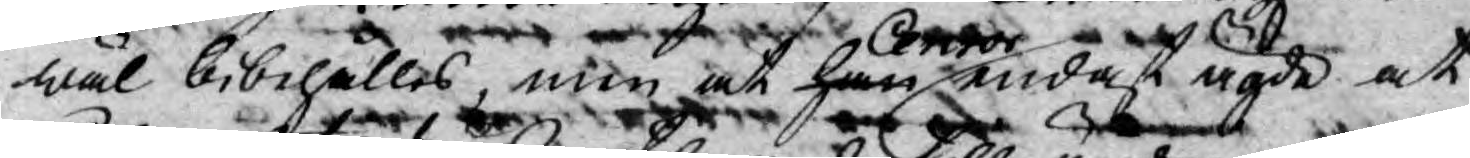wäl bibehålles men at han Censor endast ägde at
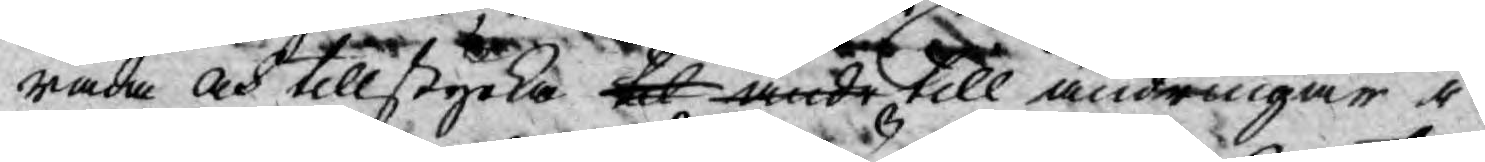råda och tillstyrka til ändr till ändringar i
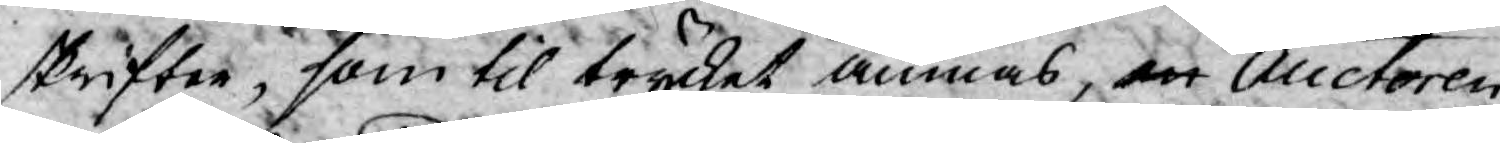skrifter, som til trycket ämnas, Auctoren
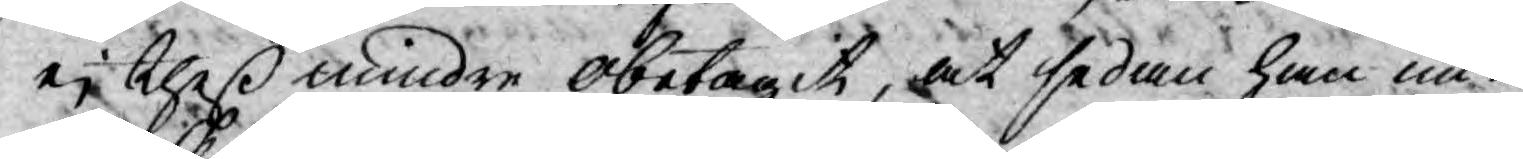ej theß mindre obetagit, at sedan han un¬
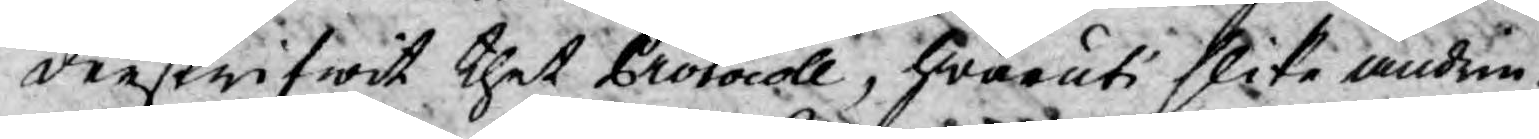derskrifwit thet Protocoll, hwaruti slika ändrin¬
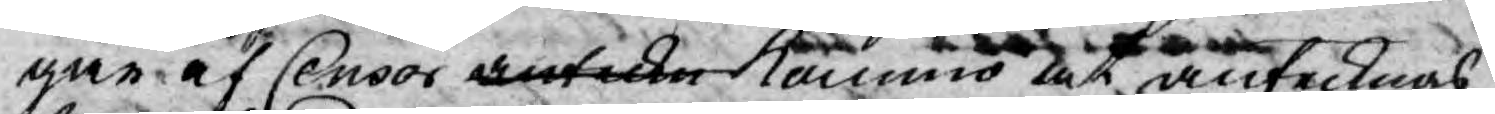gar af Censor anteckn kommo at antecknas
